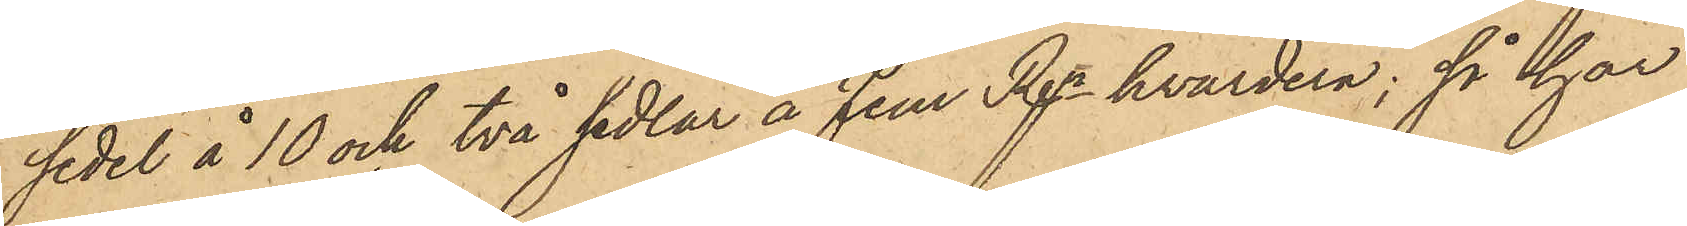sedel å 10 och två sedlar å fem Rdr hvardera; så har
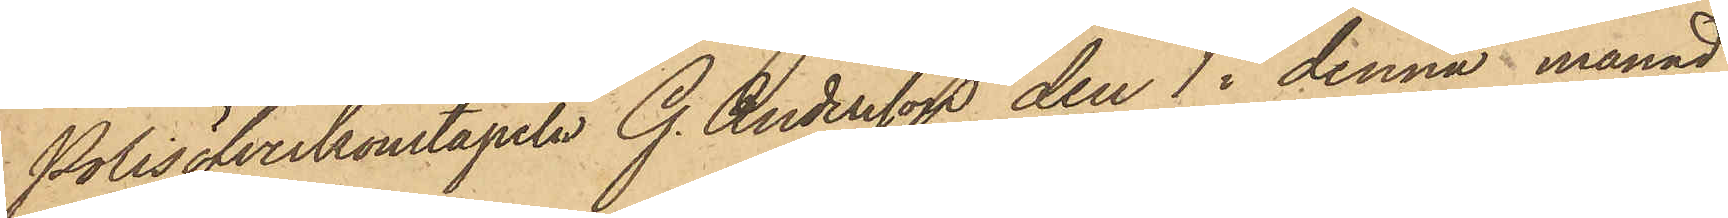Polisöfverkonstapeln G. Andersson den 1 i denna månad
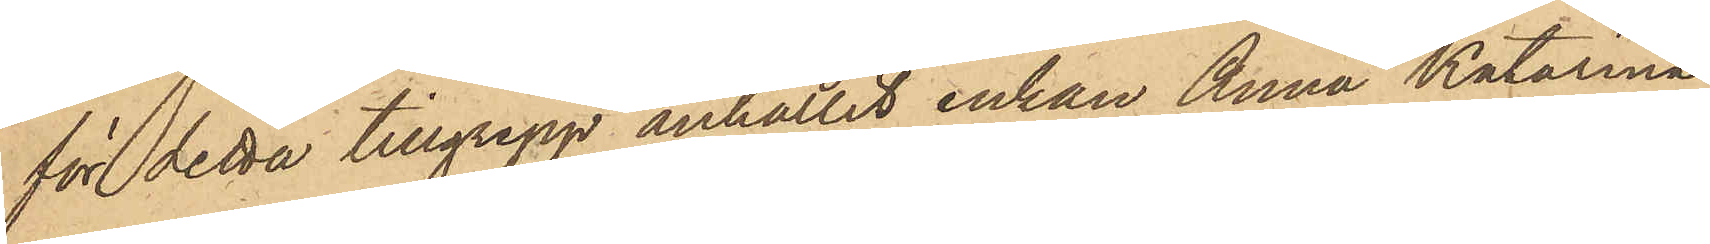för detta tillgrepp anhållit enkan Anna Katarina
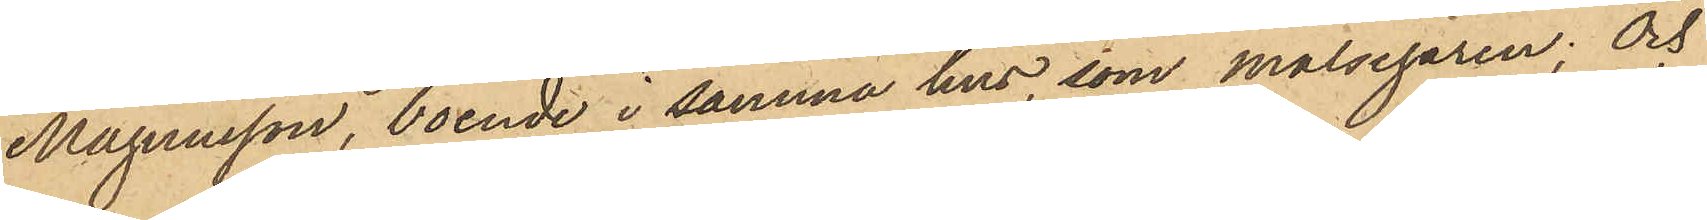Magnusson, boende i samma hus, som målsegaren; och
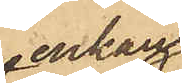enkan
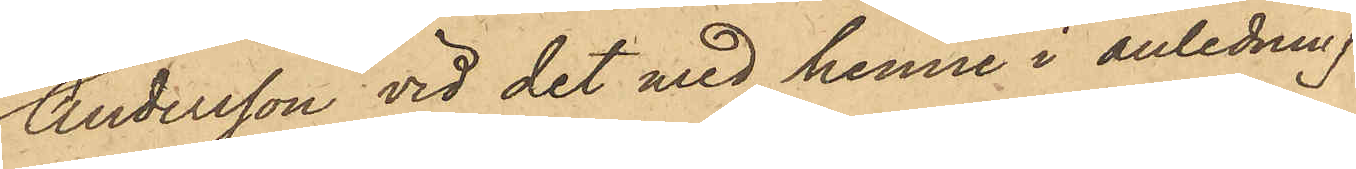Andersson vid det med henne i anledning
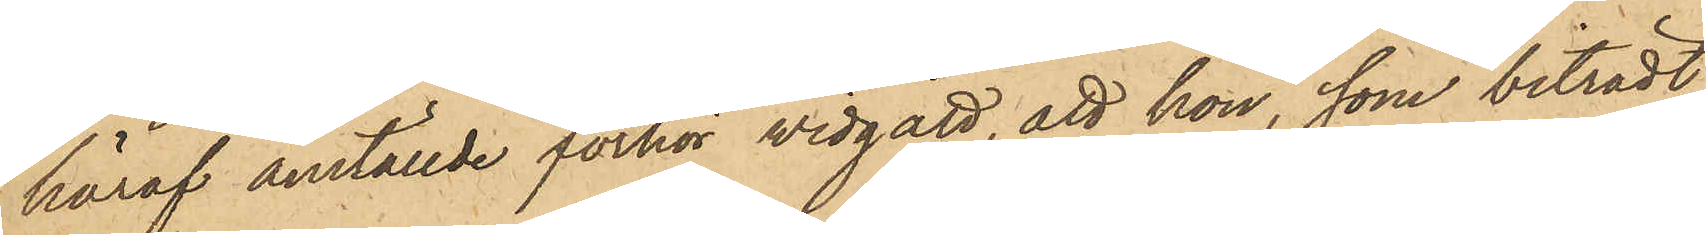häraf anställde förhör widgått, att hon, som biträdt
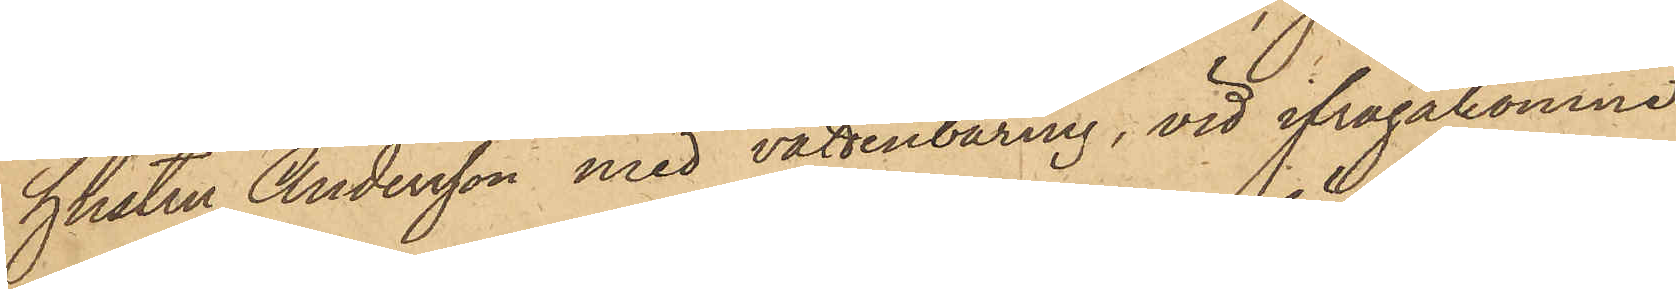hustru Andersson med vattenbäring, vid ifrågakomne
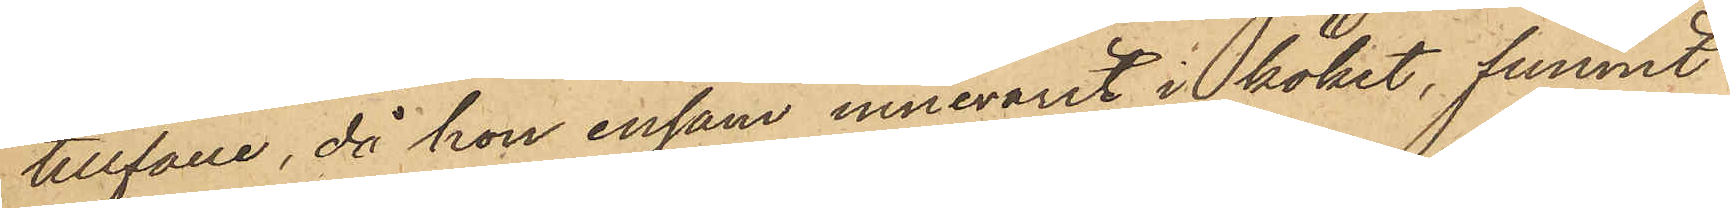tillfälle, då hon ensam innevarit i köket, funnit
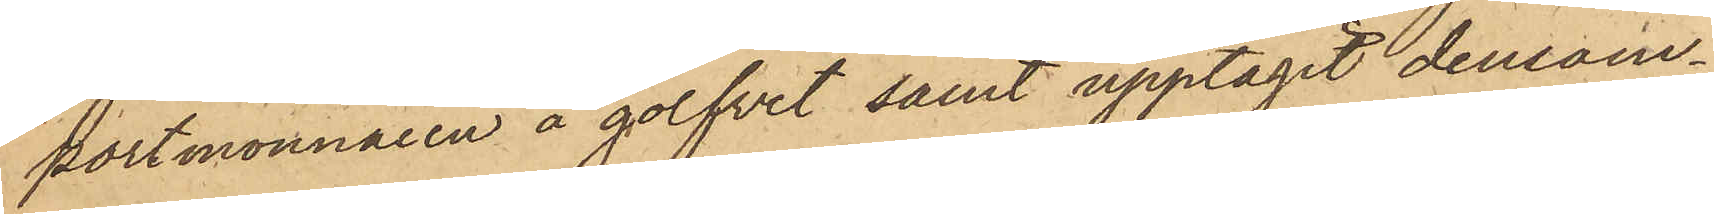portmonnaien å golfvet samt upptagit densam¬
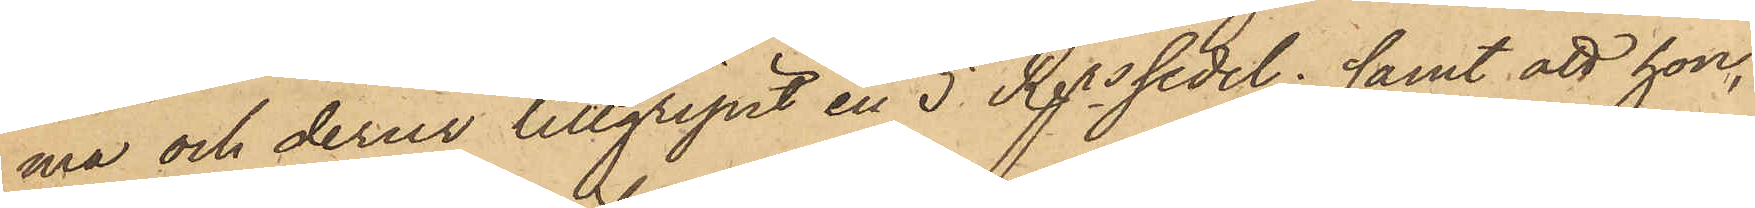ma och derur tillgripit en 5 Rdrssedel; samt att hon,
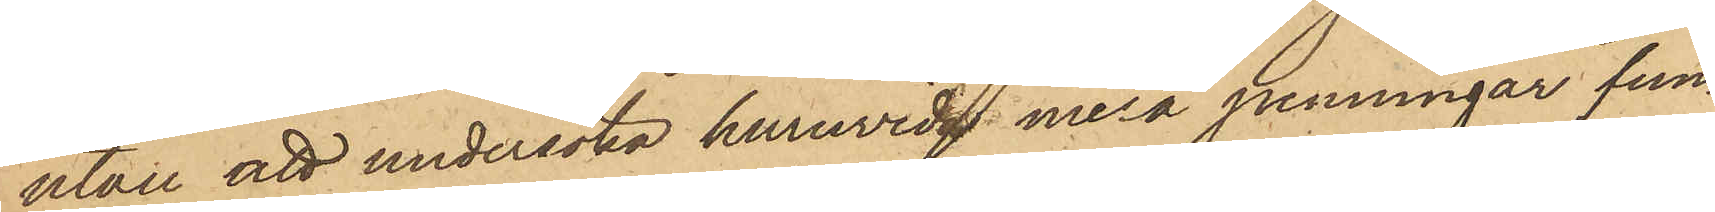utan att undersöka huruvida mera penningar fun¬
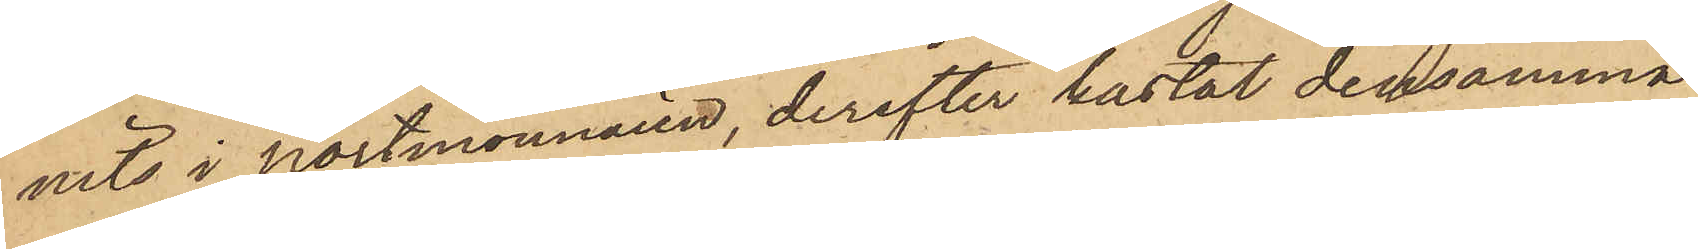nits i portmonnaien, derefter kastat densamma
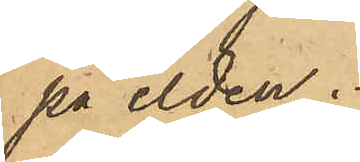på elden.
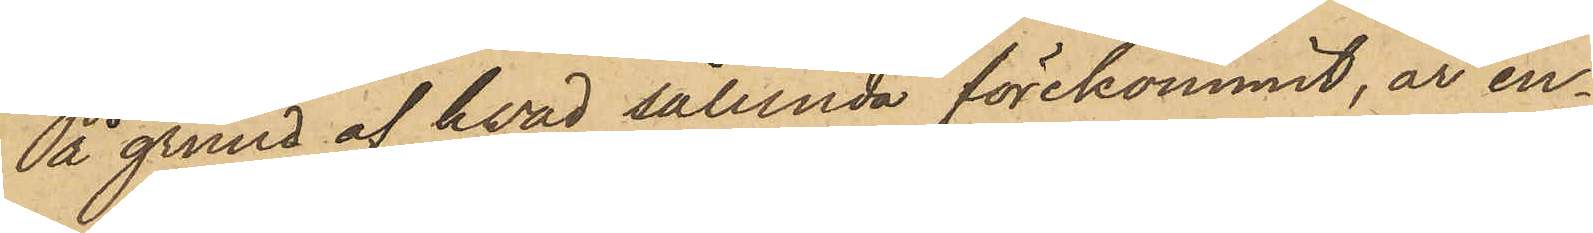På grund af hvad sålunda förekommit, är en¬
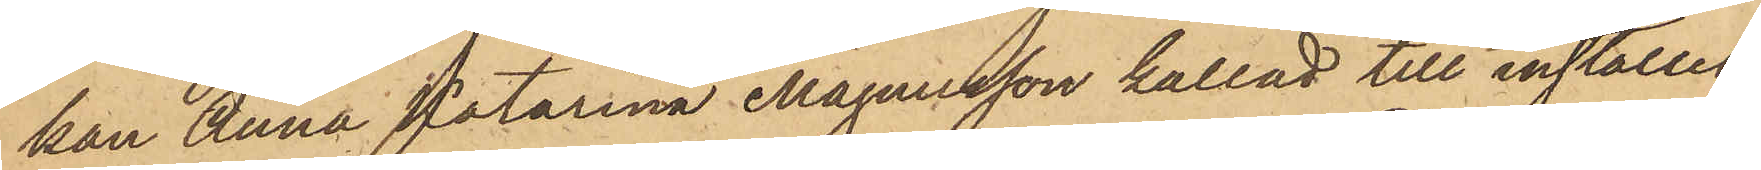kan Anna Katarina Magnusson kallad till inställel¬
